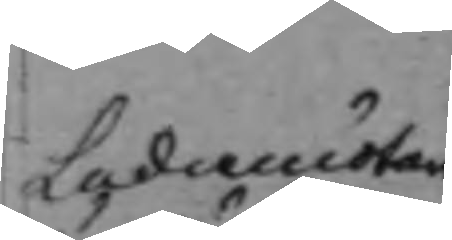Commer. d: Ursäcktades Assessorerne 
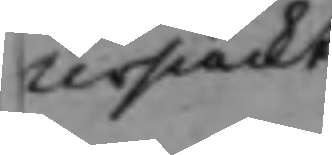terscult
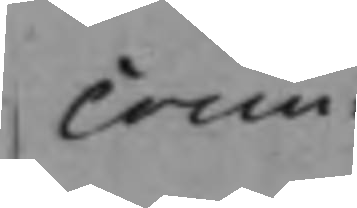com¬
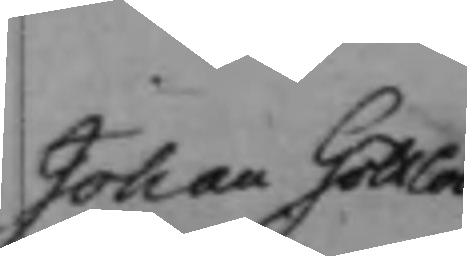Johan Joh: d: Uti Supplications slutan¬ 
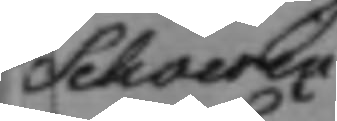Schverin
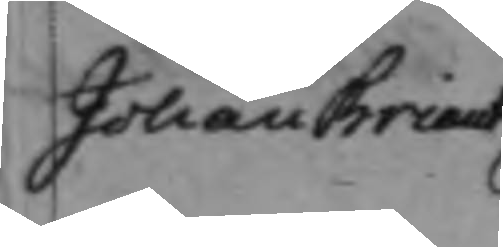Johan Fransk tjenst Wälborne Ba¬
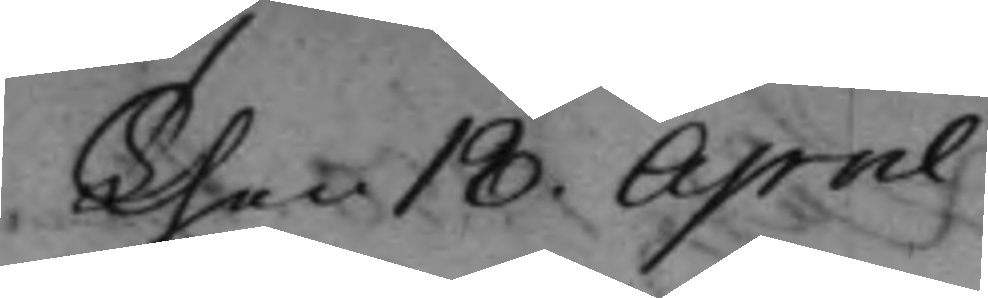then 18 April
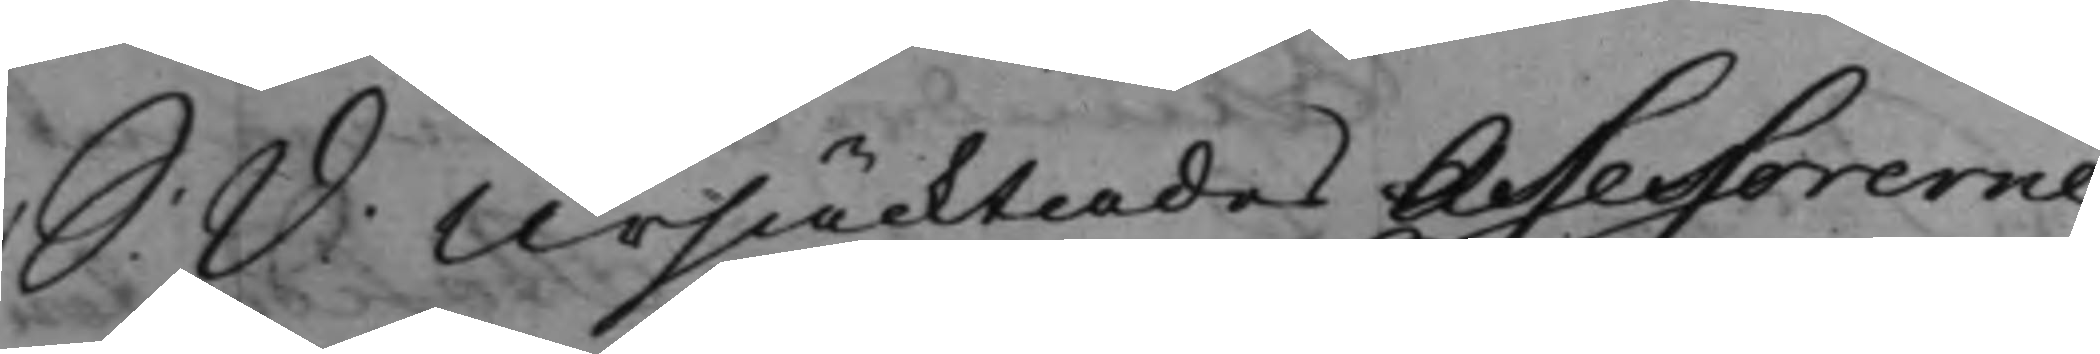Commer. d: Ursäcktades Assessorerne 
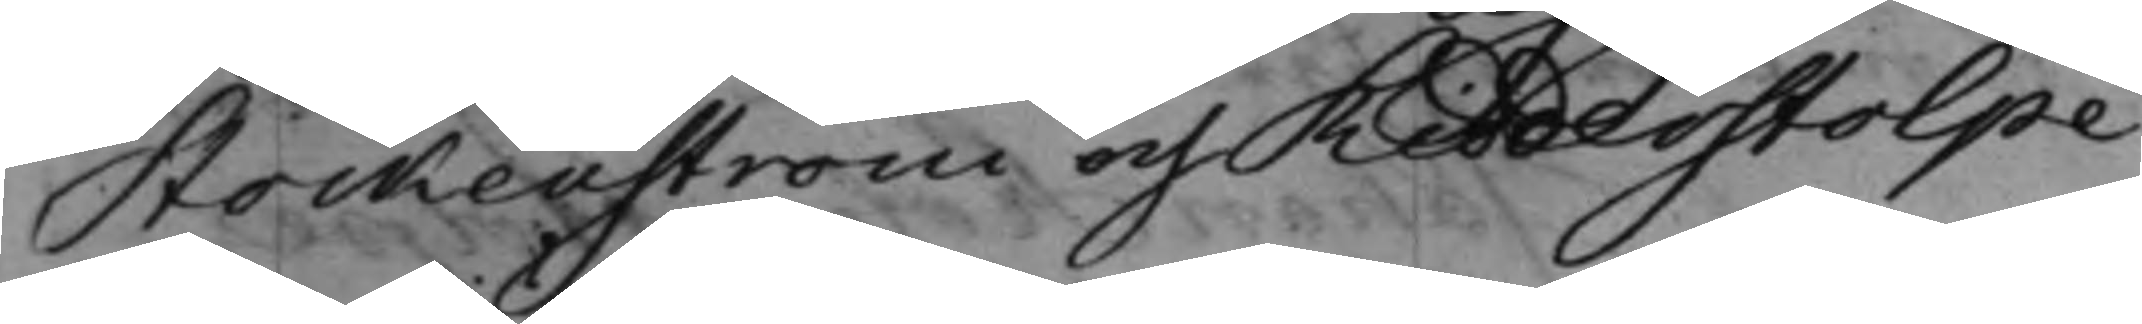Stockenström och Ridderstolpe
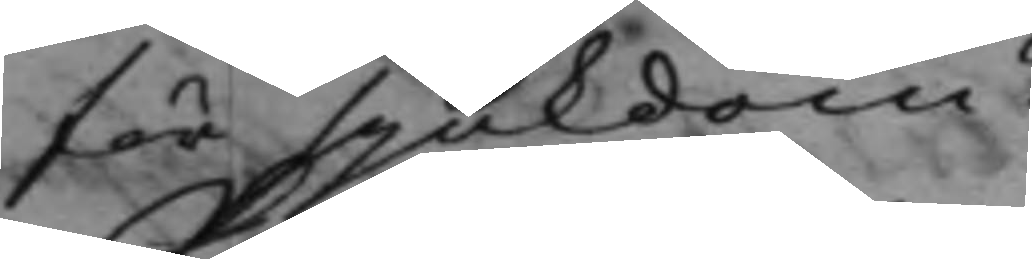sjukdom,
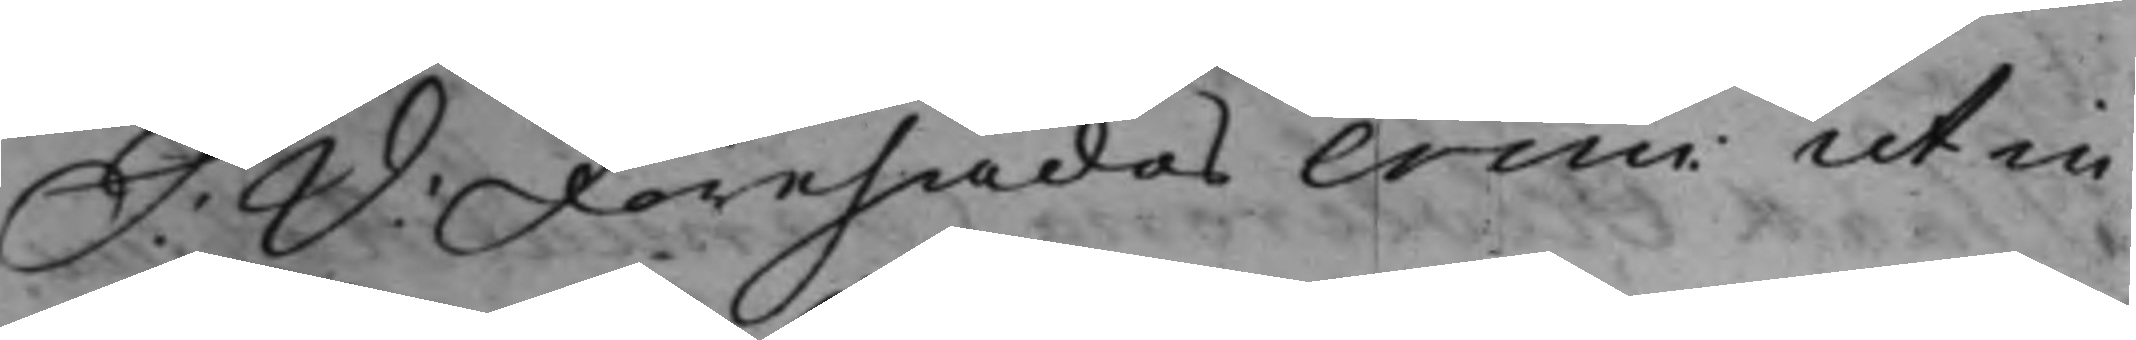S: D: Förehades Crim: ut in 
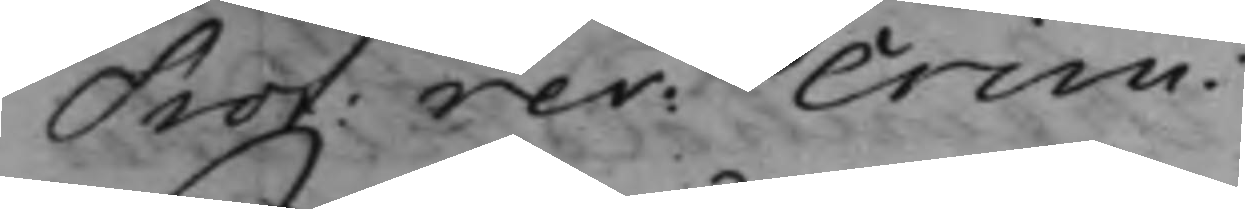Prot: rev: Crim: 
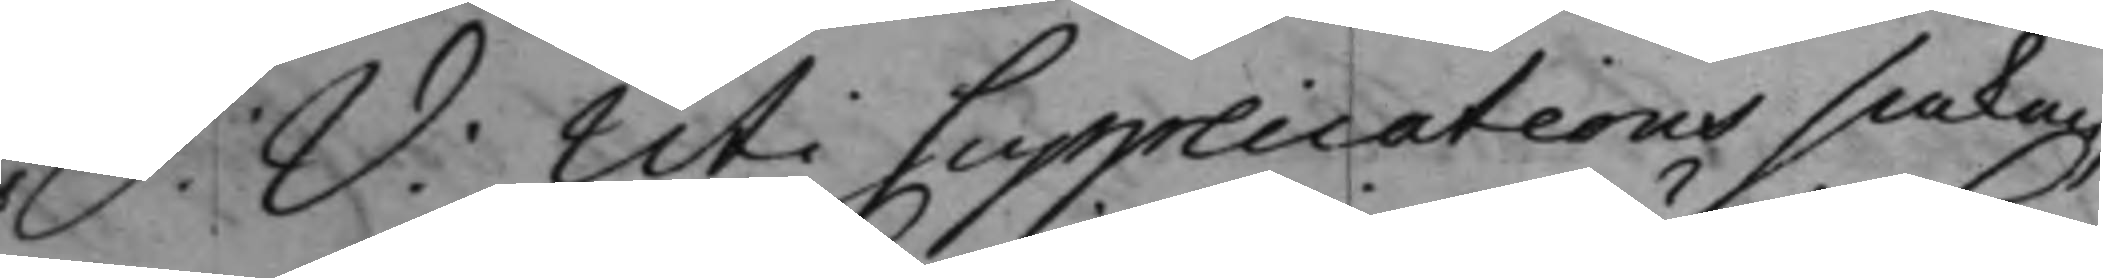Johan Joh: d: Uti Supplications slutan¬ 
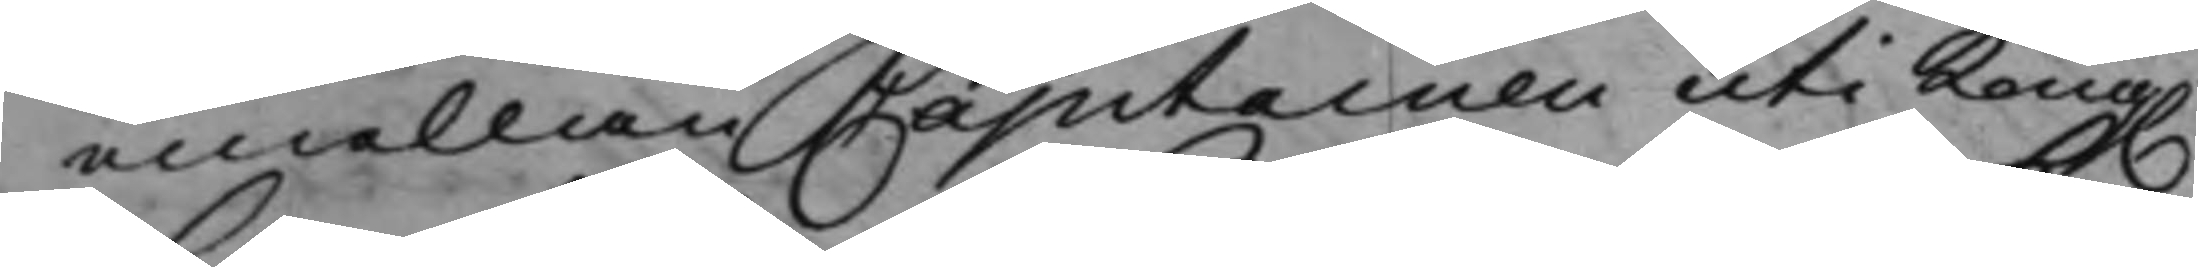emellan Capitainen uti Kong. 
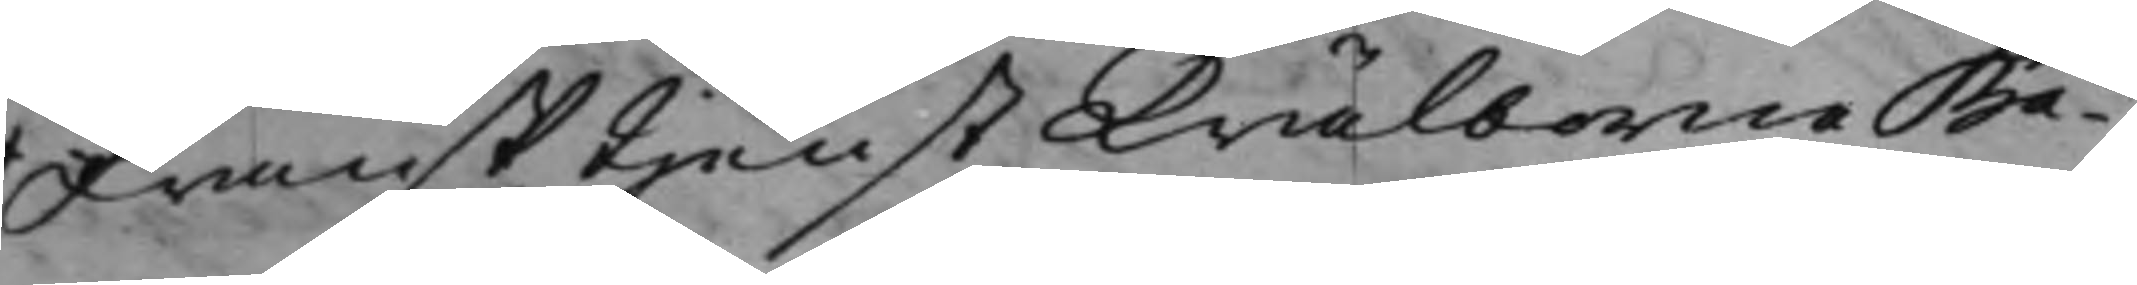Johan Fransk tjenst Wälborne Ba¬
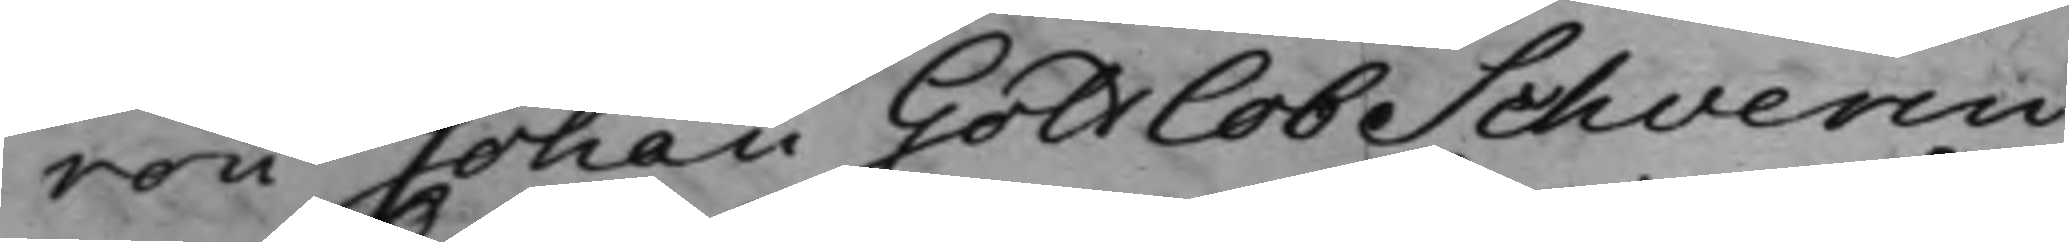ron Johan Gothof Schverii
